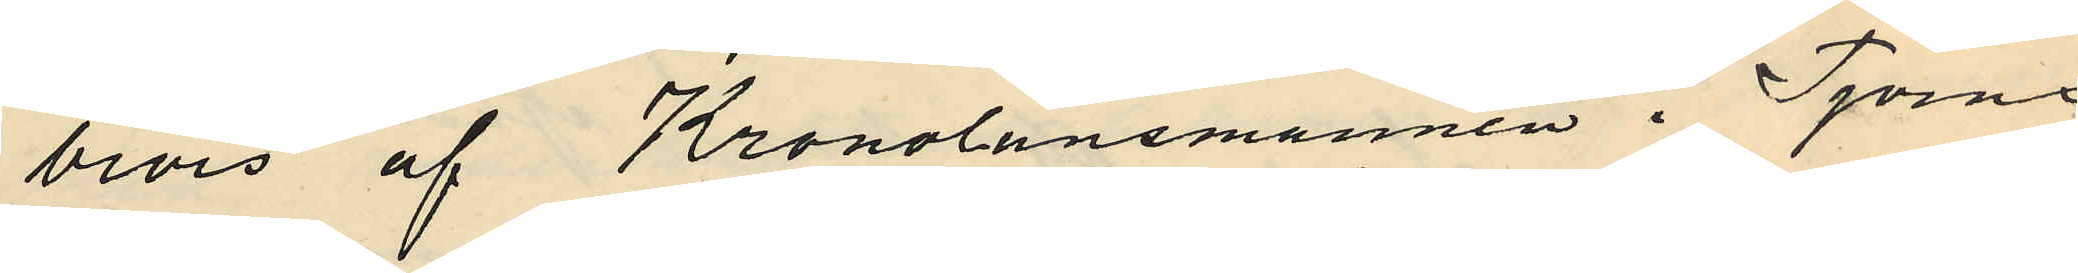bevis af Kronolänsmannen i Tjörns
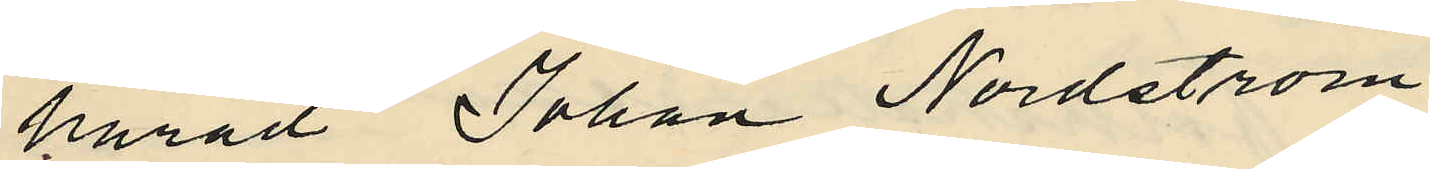härad Johan Nordetröm.
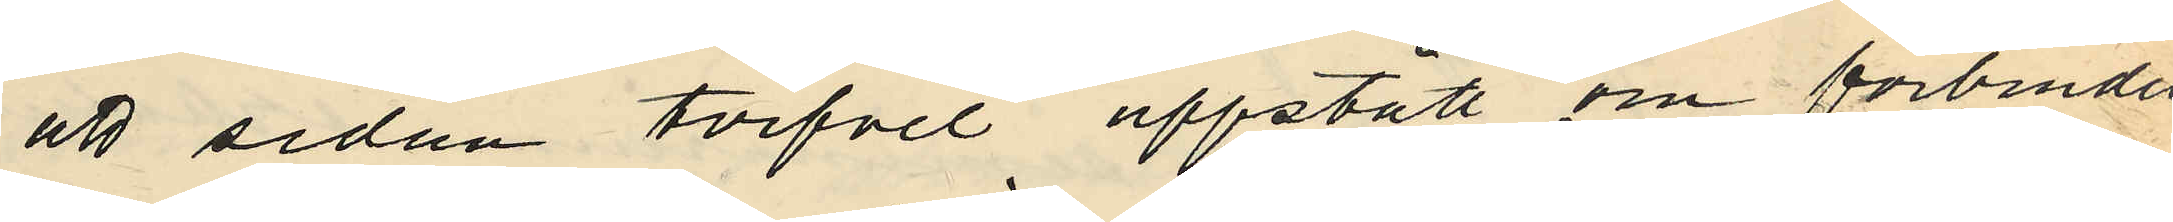att sedan tvifvel uppstått om förbindel¬
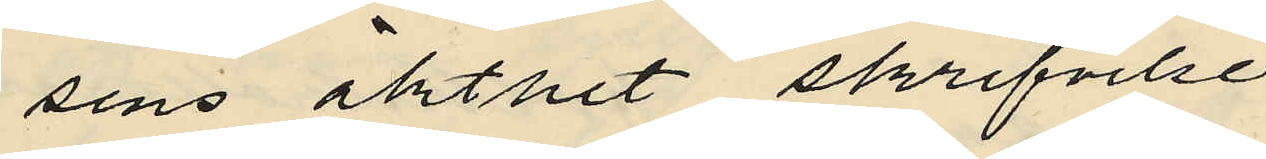sens äkthet skrifvelse
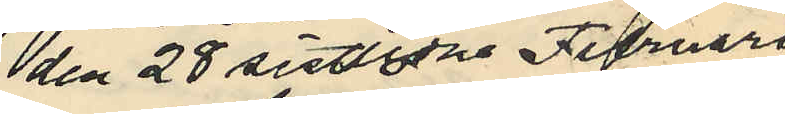den 28 sistlidne Februari
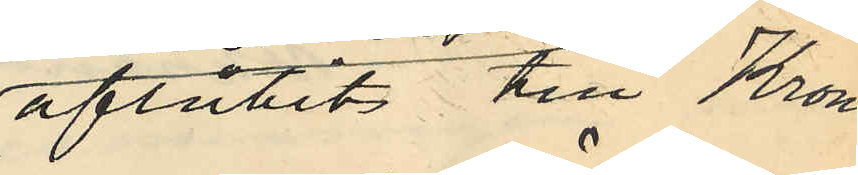aflåtits till Krono¬
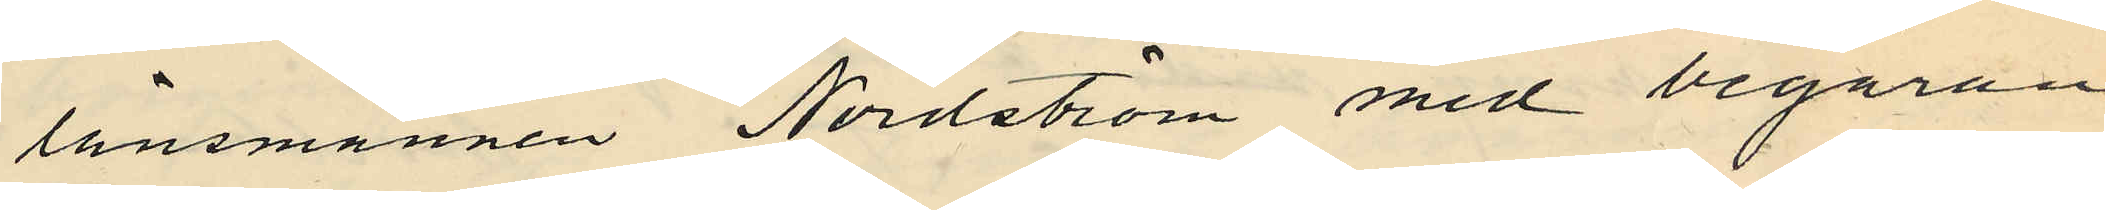länsmannen Nordström med begäran
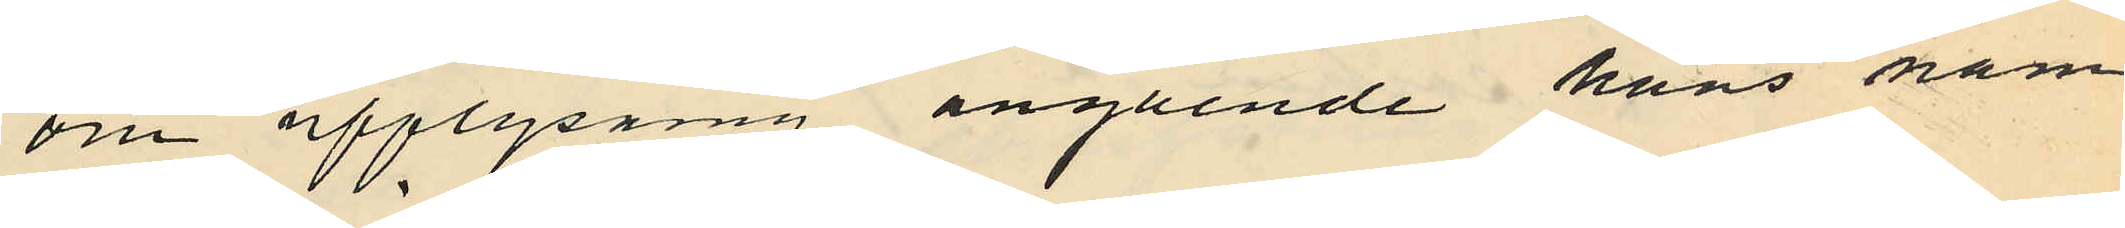om upplysning angående hans nam¬
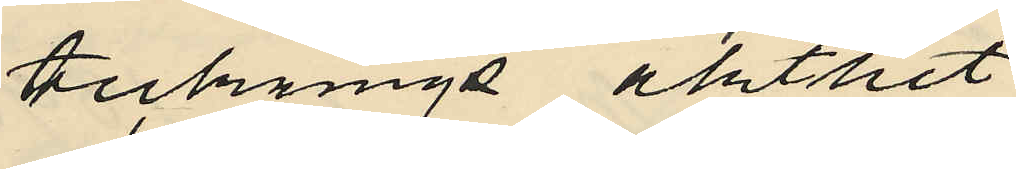tecknings äkthet.
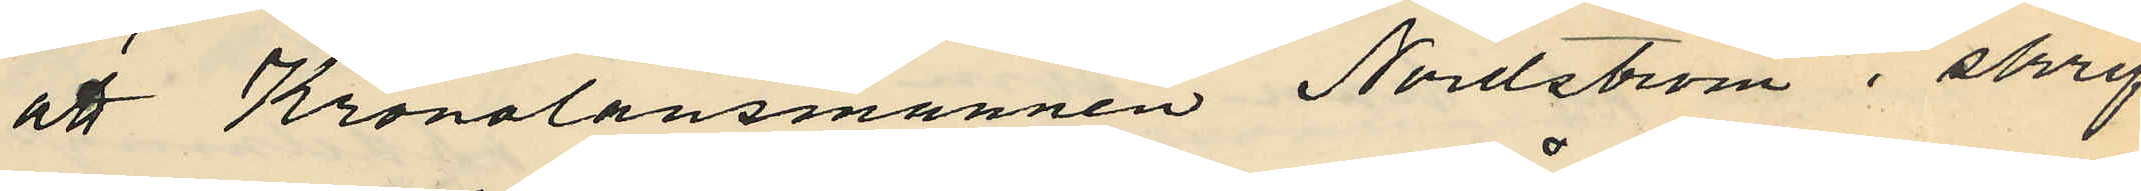att Kronolänsmannen Nordström i skrif¬
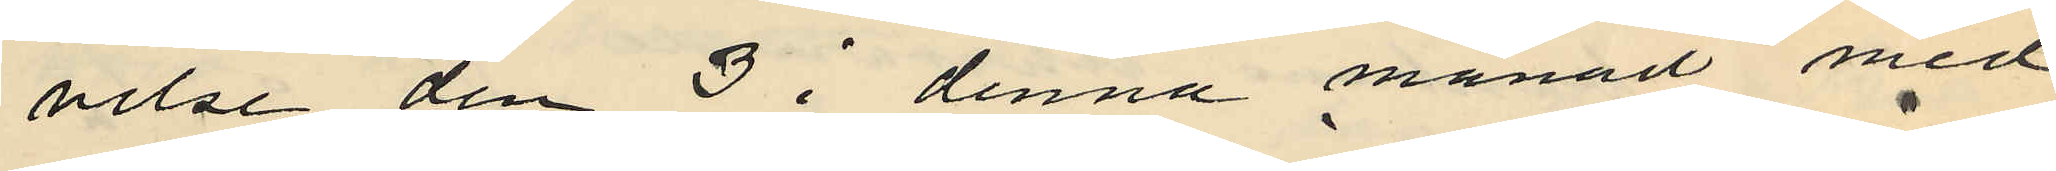velse den 3 i denna månad med¬
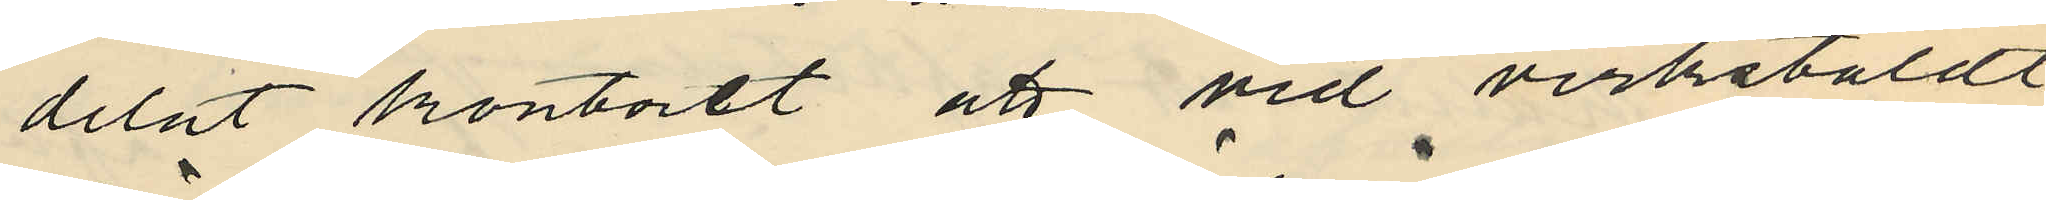delat kontoret att vid verkstäldt
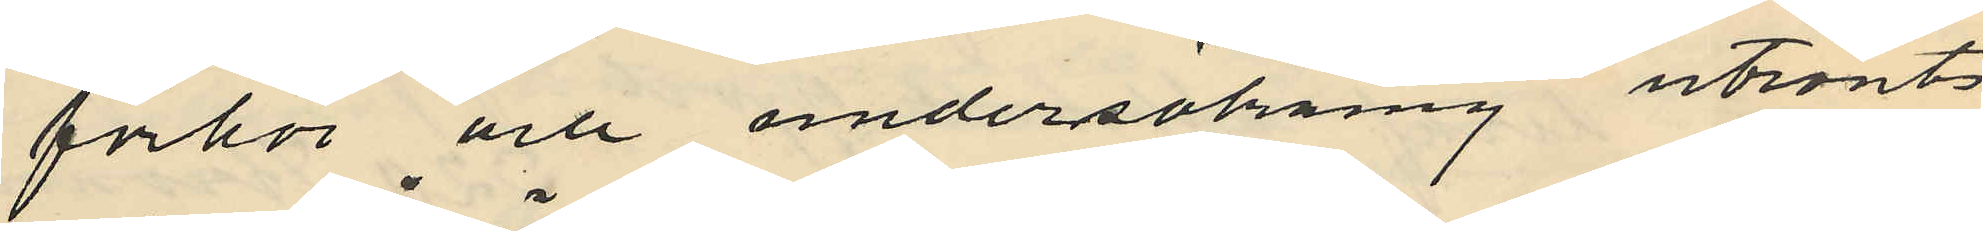förhör och undersökning utrönts
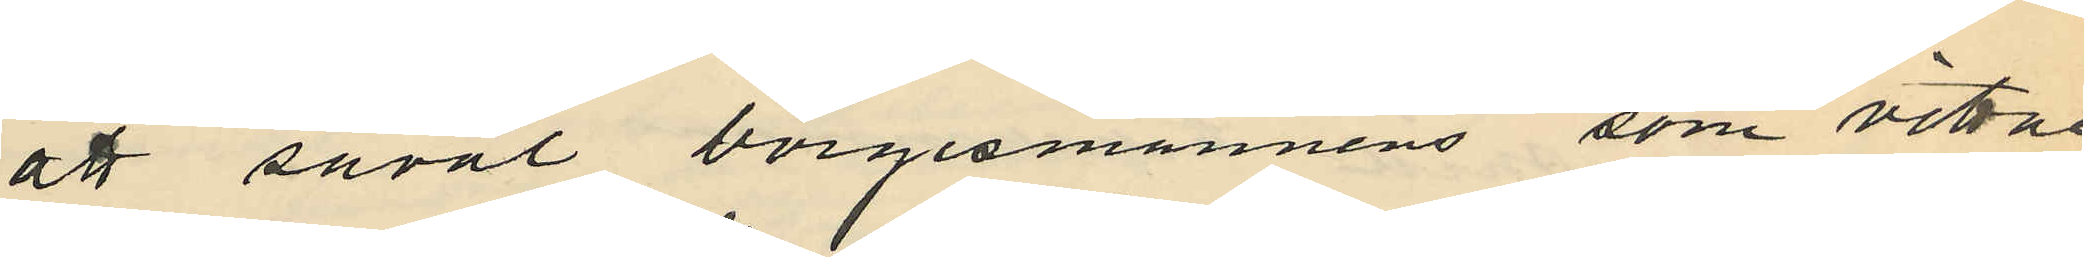att såväl borgesmannens som vitne¬
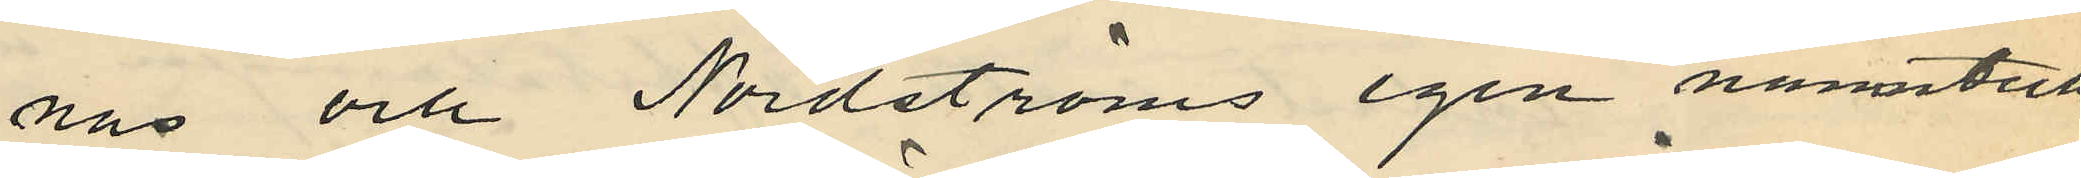nas och Nordströms egen namnteck¬
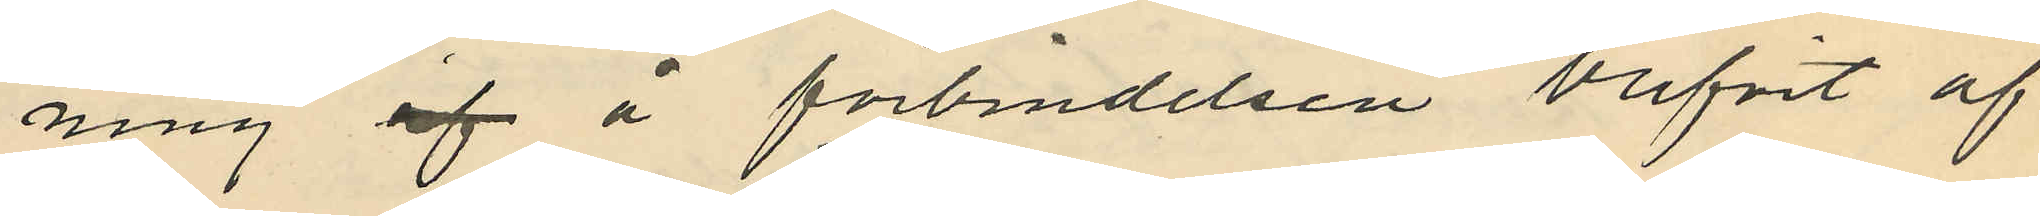ning af å förbindelsen blifvit af
